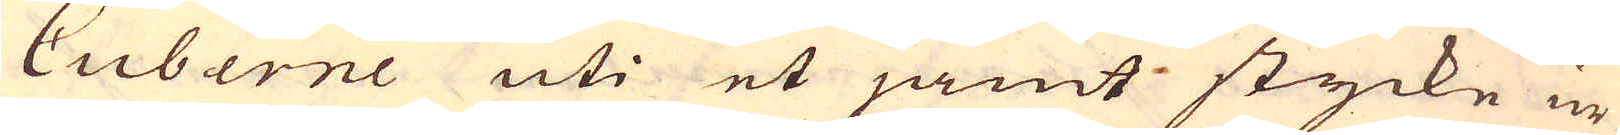Cuberne uti et jämt stycke ur
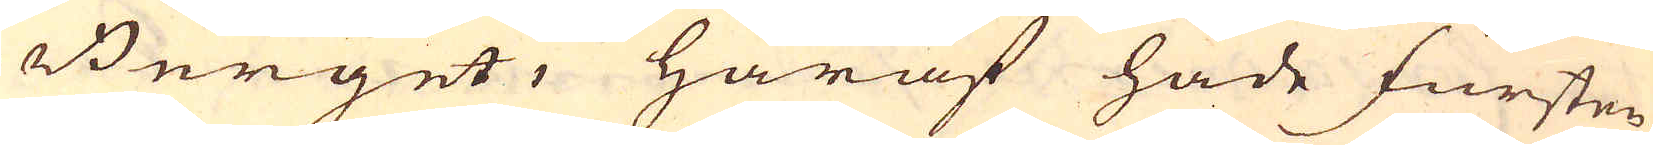Berget, häraf hade fursten
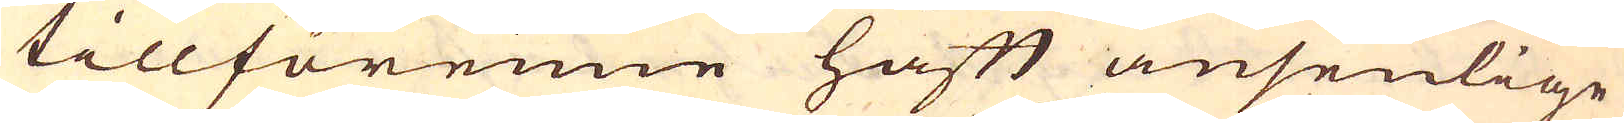tillförenne haft ansenlige
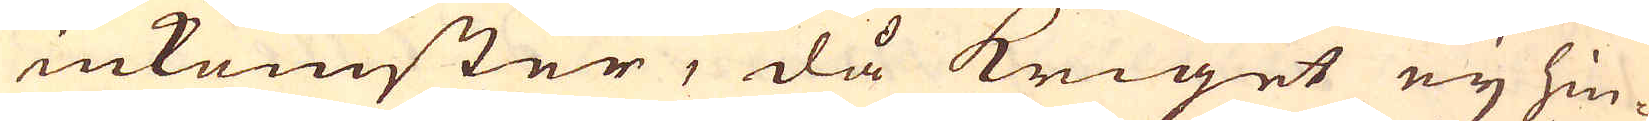inkomster, då kriget eij hin-
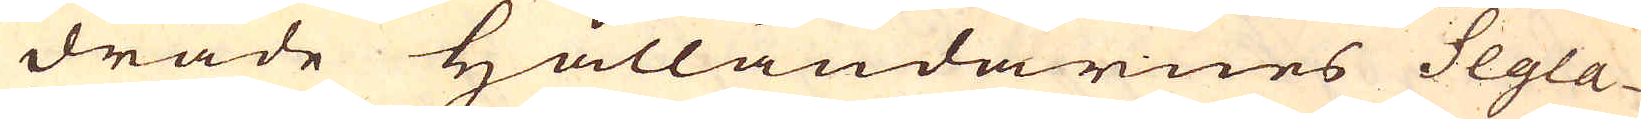drade Hålländarnes Segla-
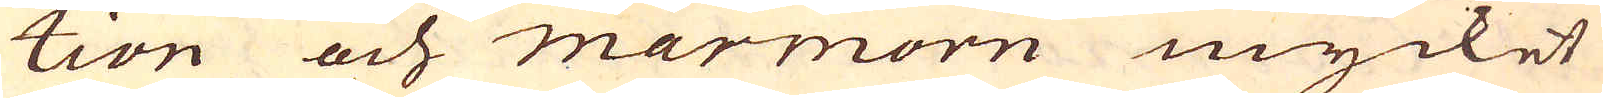tion och marmorn mycket
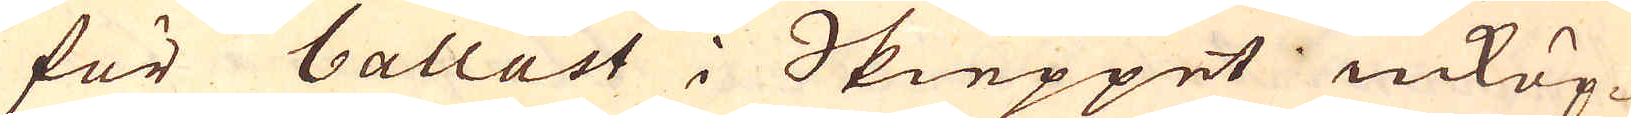för ballast i Skieppet inköp-
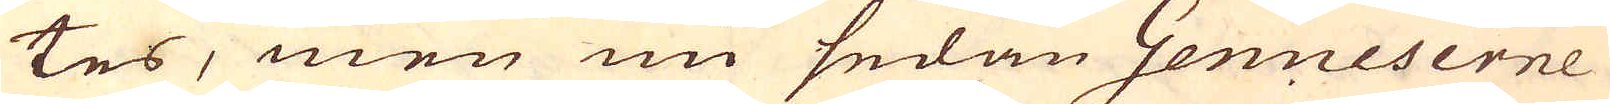tes, men nu sedan Genueserne
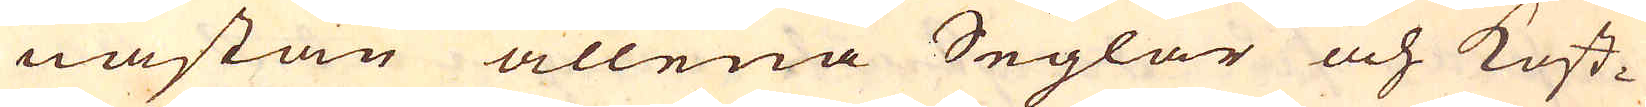nästan allena Seglar och kost-
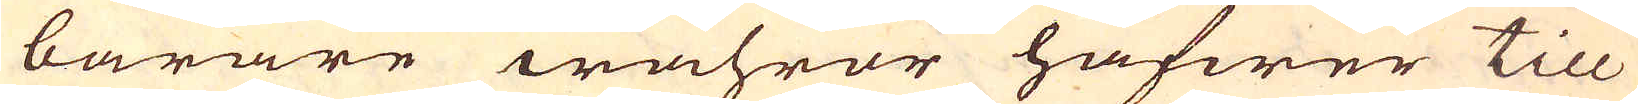barare wahror hafwer till
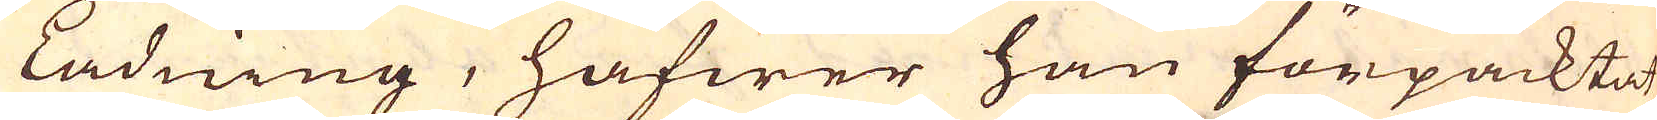Ladning, hafwer han förpacktat
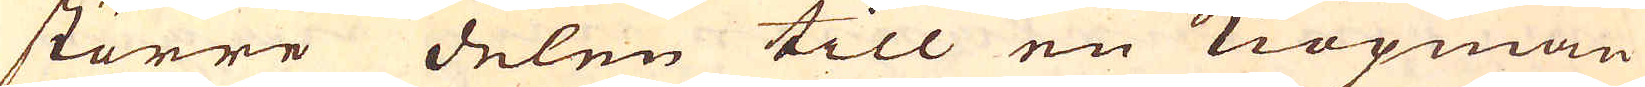större delen till en Kiöpman
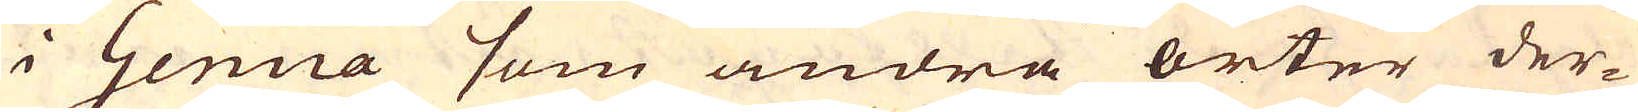i Genua som andra orter der-
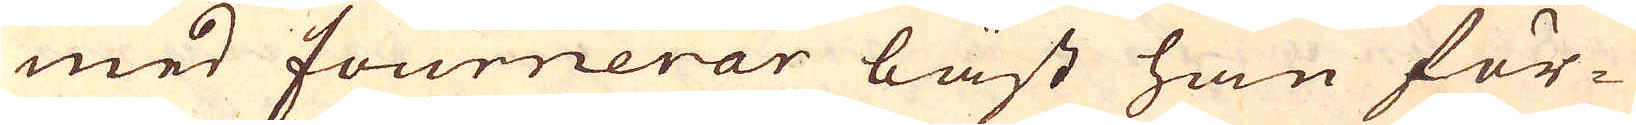med fournerar bäst han för-
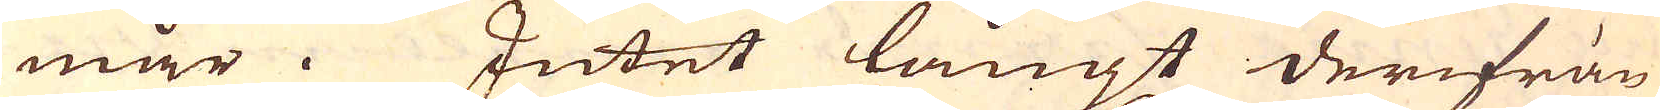mår. Intet långt derifrån
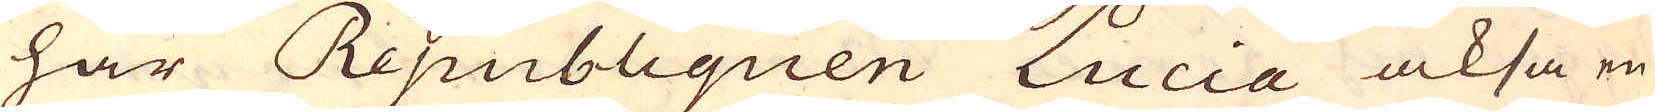har Republiquen Lucia också en
